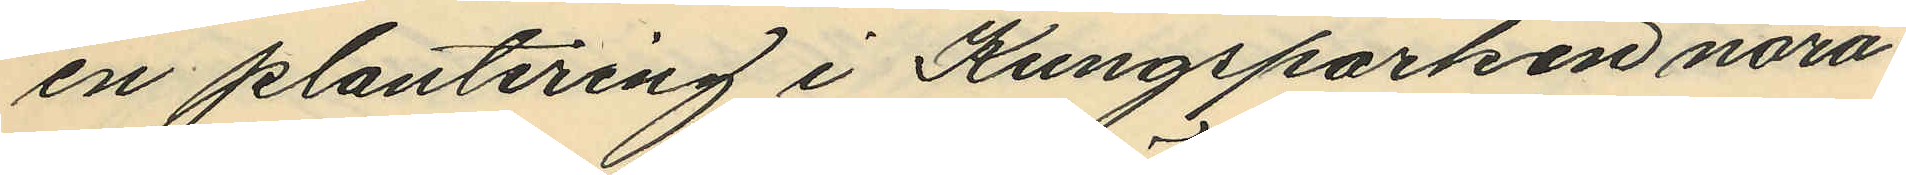en plantering i Kungsparken nära
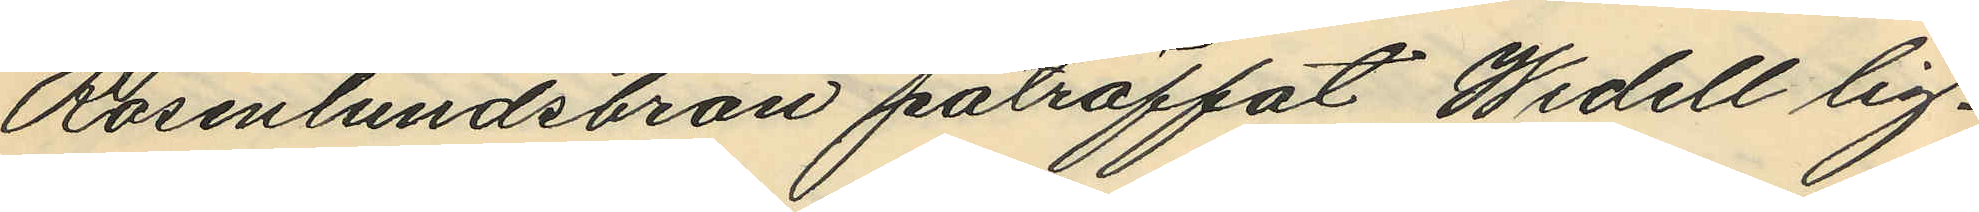Rosenlundsbron påträffat Widell lig¬
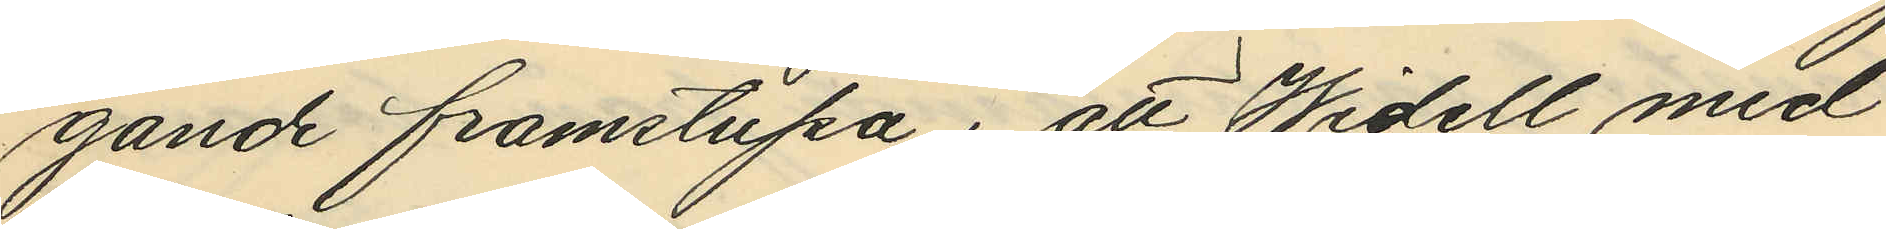gande framstupa; att Widell med
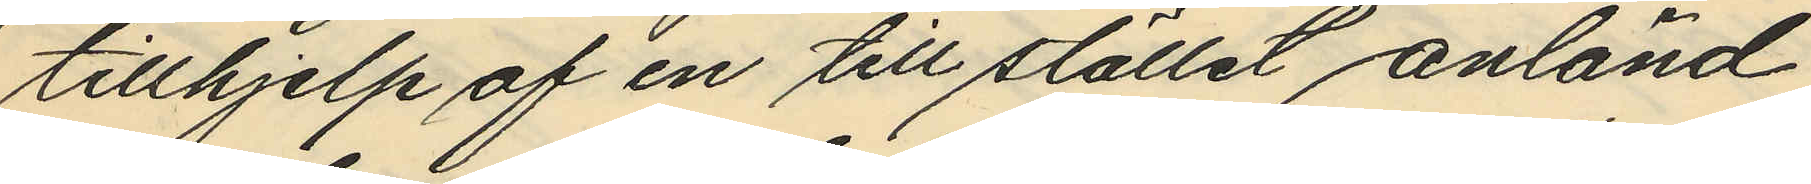tillhjelp af en till stället anländ
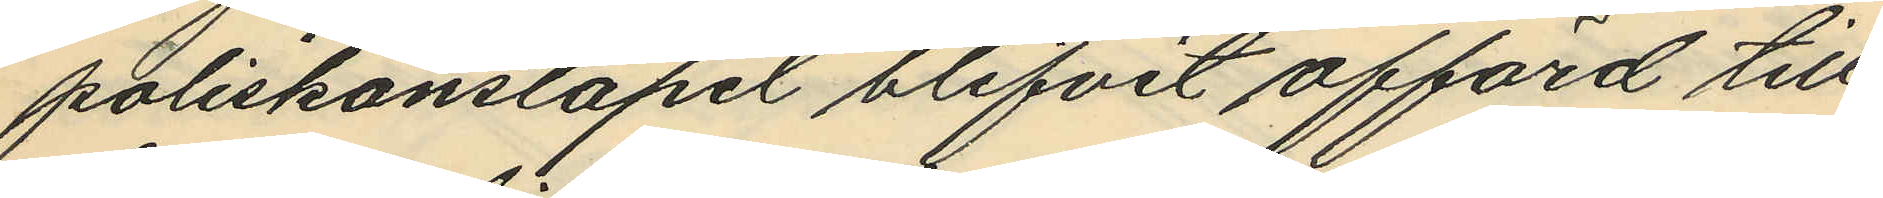poliskonstapel blifvit afförd till
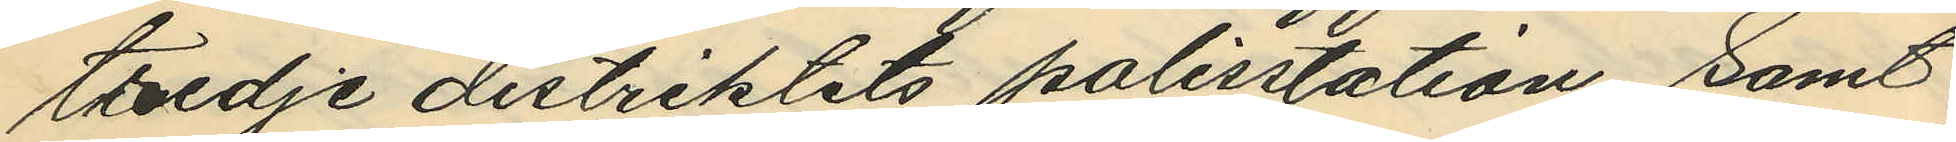tredje distriktets polisstation, samt
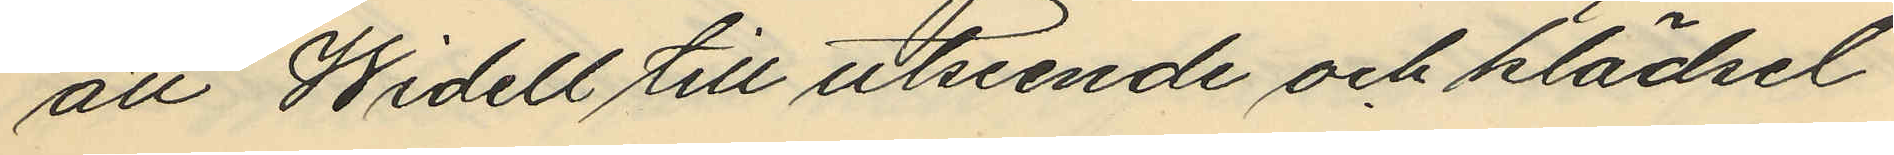att Widell till utseende och klädsel
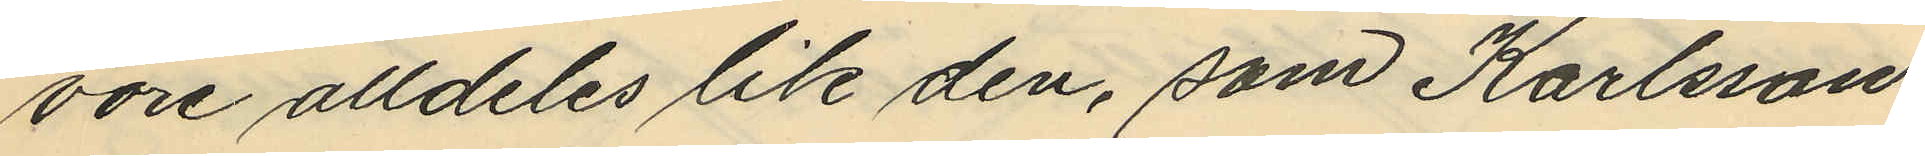vore alldeles lik den, som Karlsson
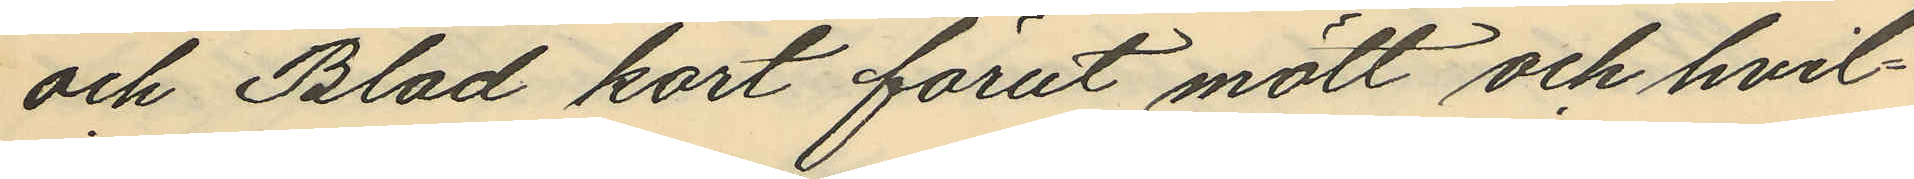och Blad kort förut mött och hvil¬
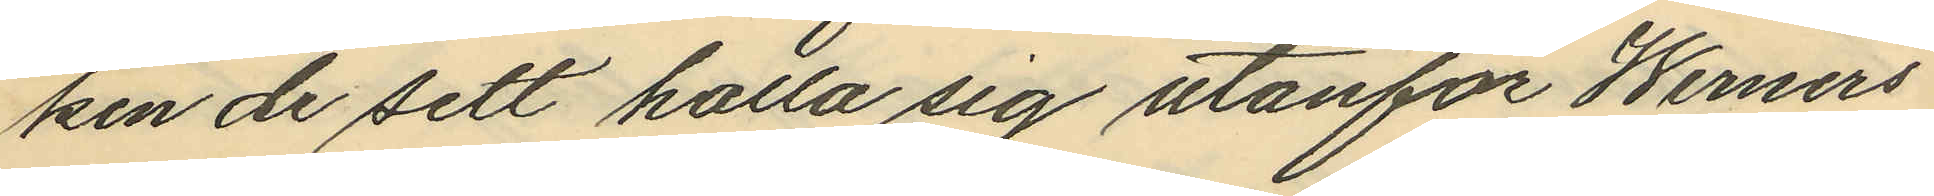ken de sett hålla sig utanför Werners
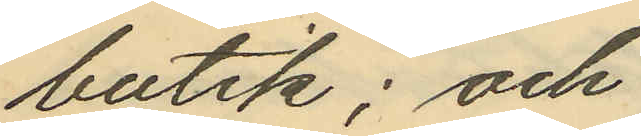butik; och
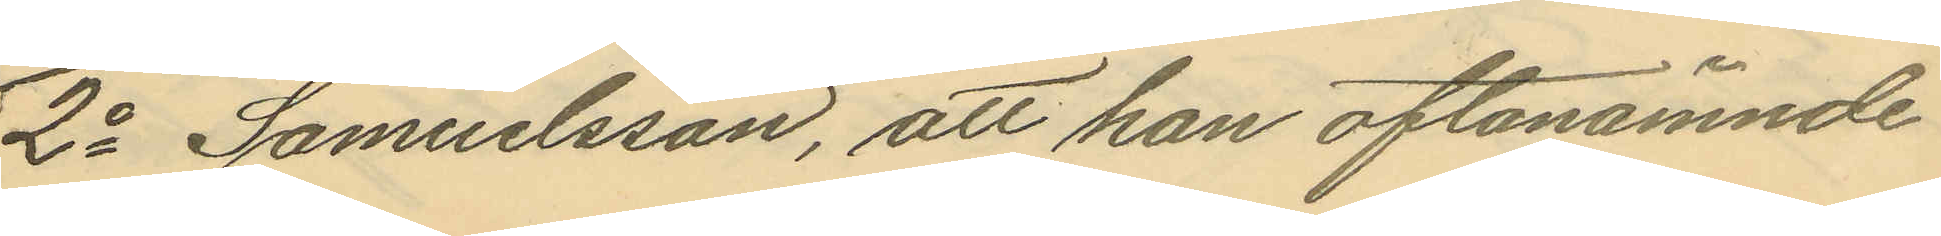2o Samuelsson, att han oftanämnde
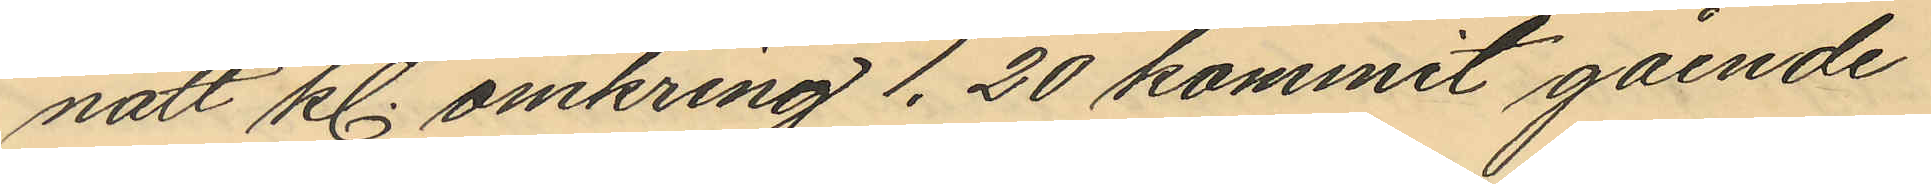natt kl. omkring 1.20 kommit gående
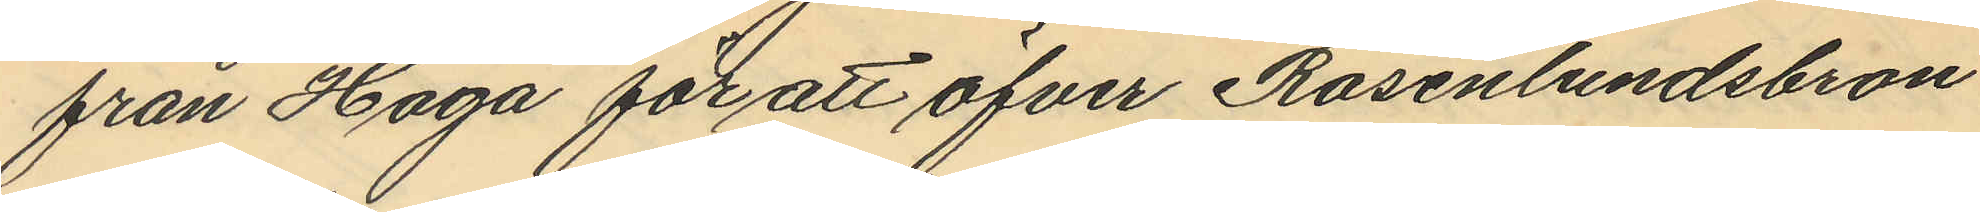från Haga för att öfver Rosenlundsbron
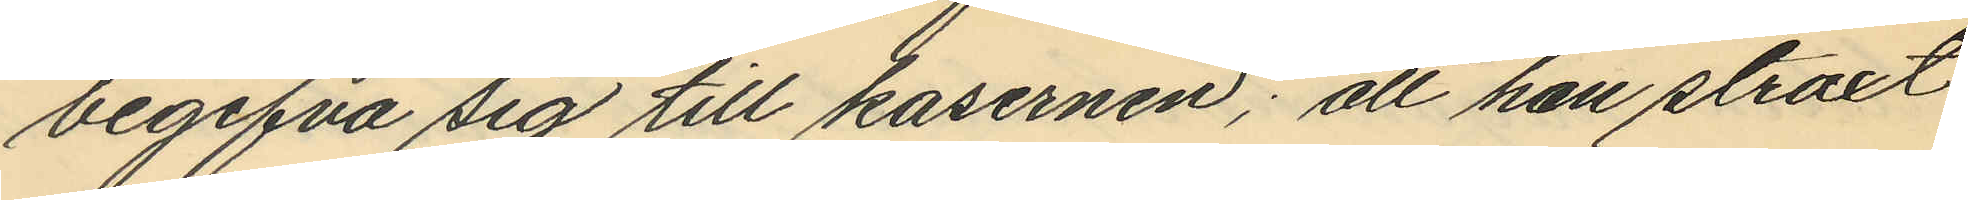begifva sig till kasernen; att han straxt
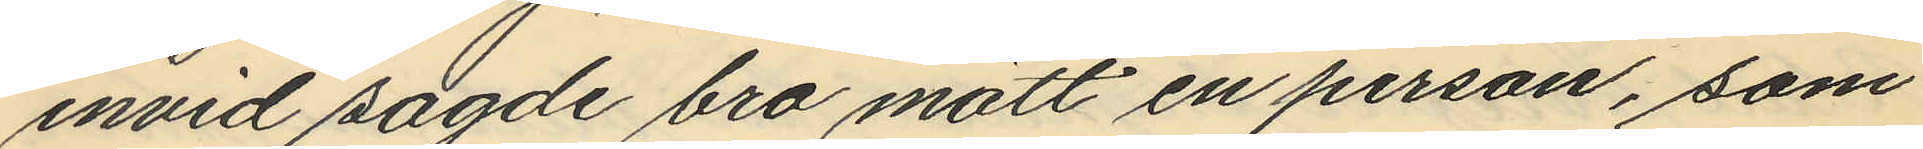invid sagde bro mött en person, som
